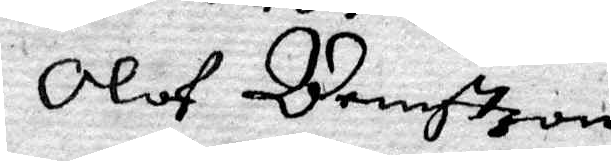Olof Bengtzon
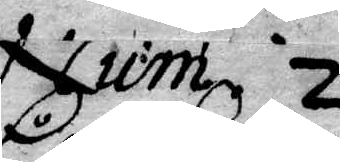Num. 2
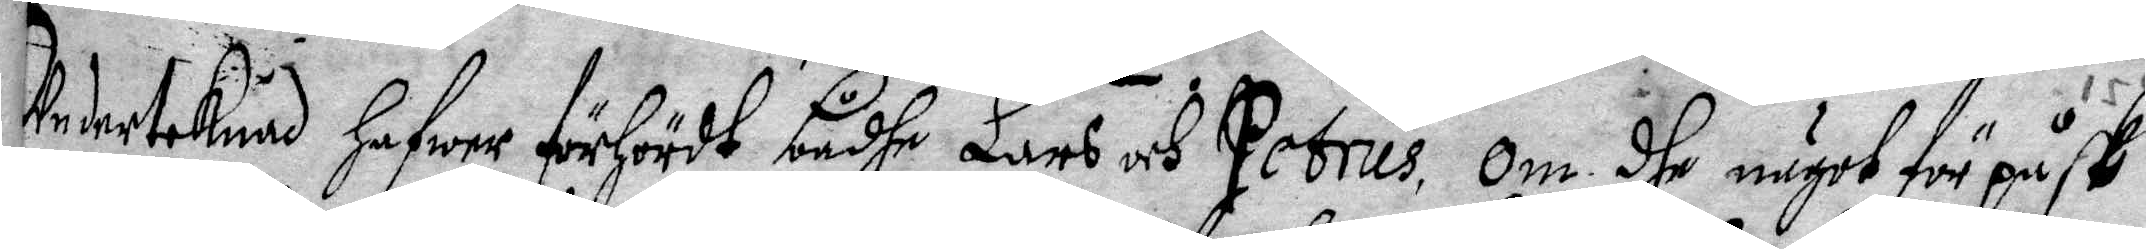Underteknad hafwer förHördt bådhe Lars och Petrus, om dhe något för påsk
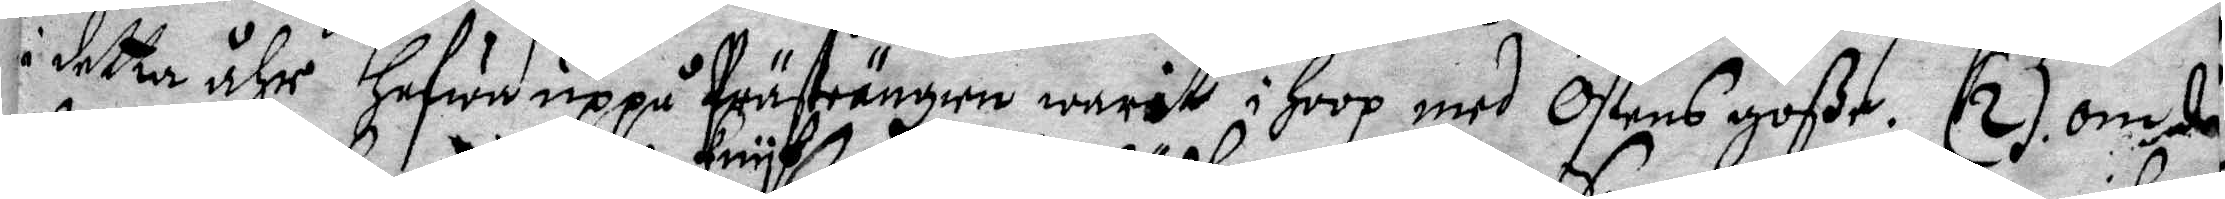i detta åhr Hafwa uppå Prästängen warit i Hoop med Östens goße. (2) om då
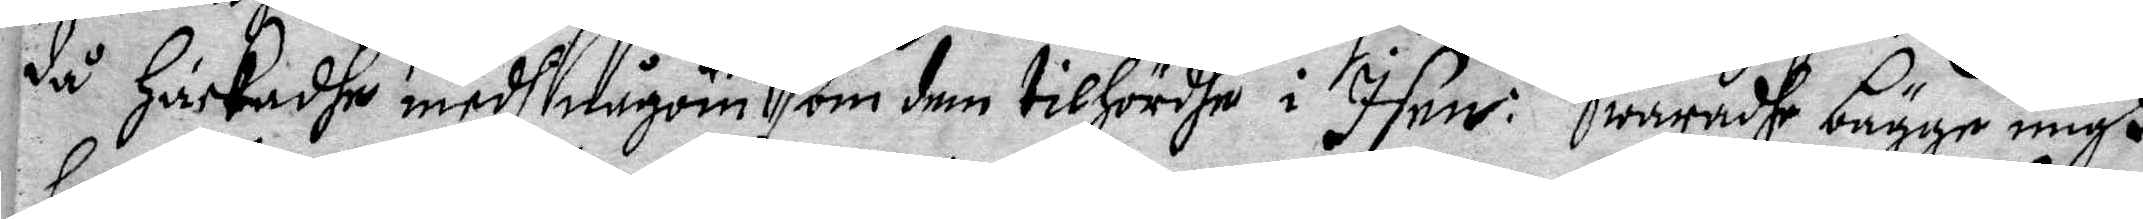då Hackadhe med någon knyf som dem tilHördhe i Isen:Swaradhe bägge migh
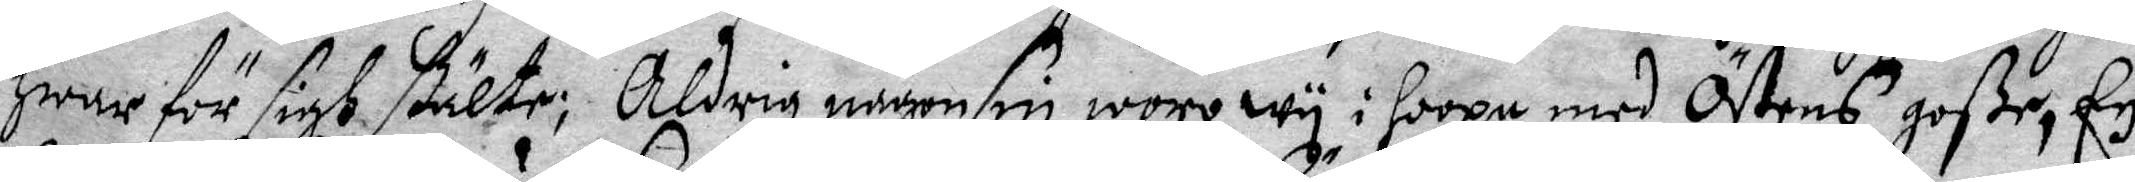Hwar för sigh stälte: Aldrig någonsin woro wy i hoopa med Östens goße. Ey
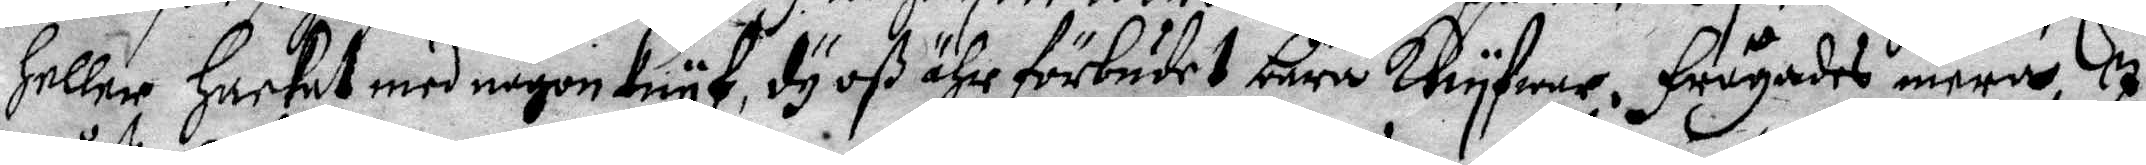Heller Hackat med någon knyf, dy oß ähr förbudet bära knyfwar. Frågades mera, I
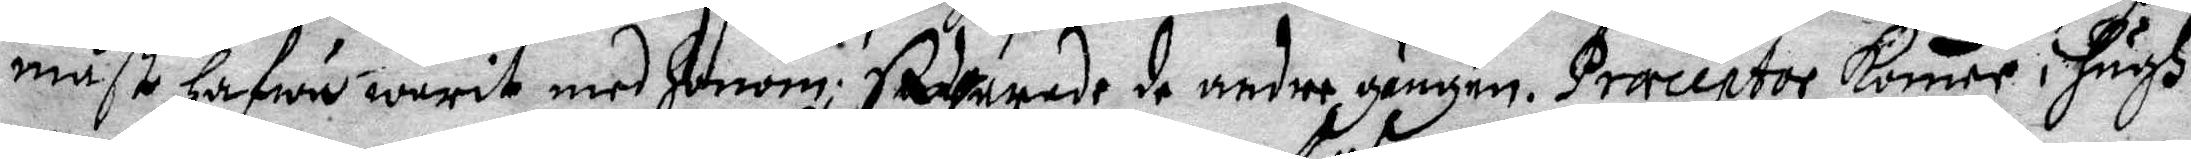måst Hafwu warit med Honom; Swarade de andre gången. Præceptor komen i Hågh
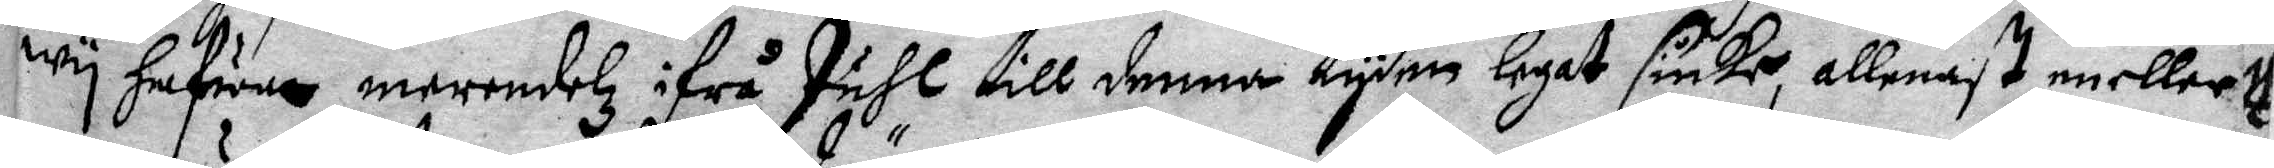wy Hafwer merendelz ifrå Juhl till denna tyden legat siuke, allenast en eller
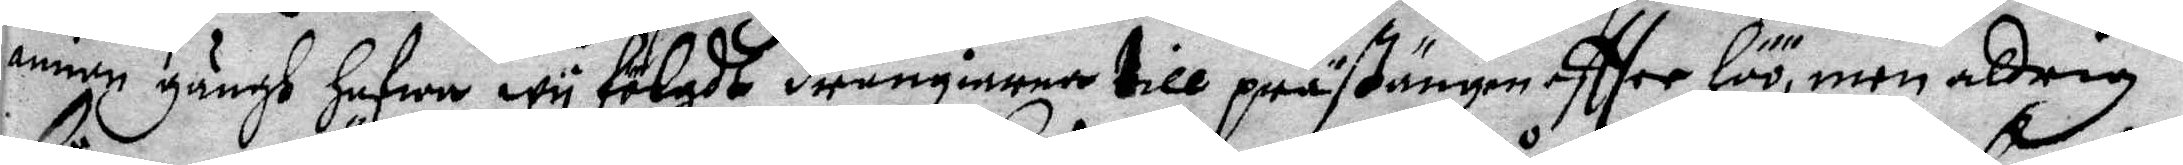annan gångh Hafwa wy fölgdt drängiernde till prästängen eftter Höö, men aldrig
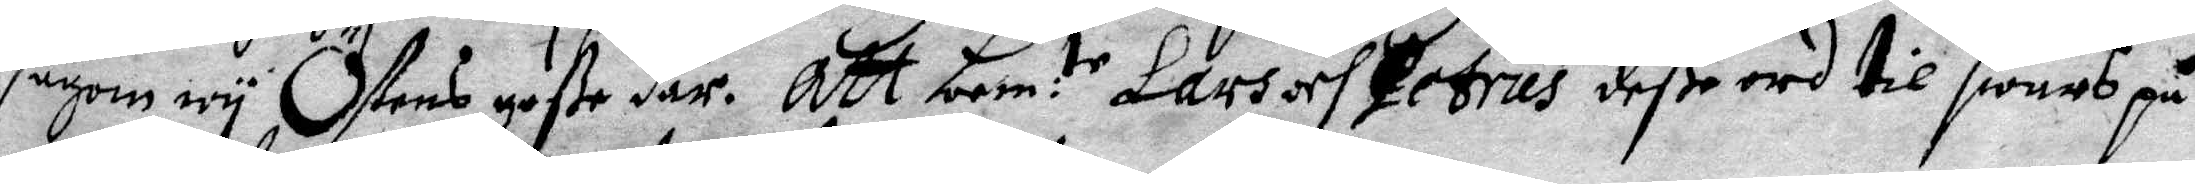sågom wy Östens goße där. Att bem:te Lars och Petrus deße ord til swars på
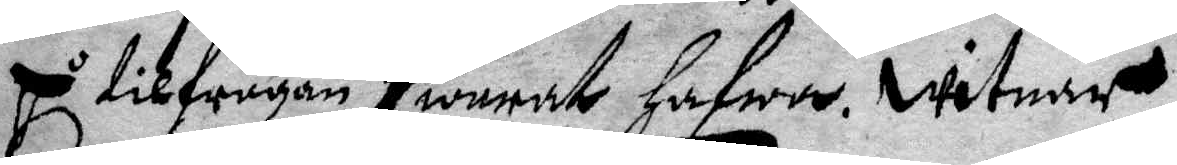på tilfrågan swarat Hafwa. witnar
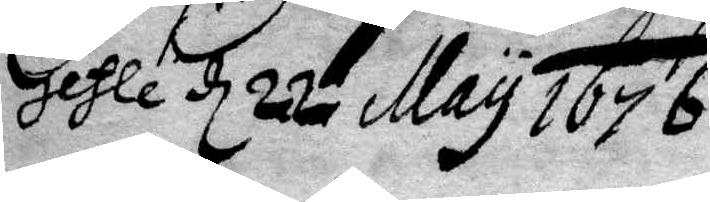Gefle d 22 May 1676
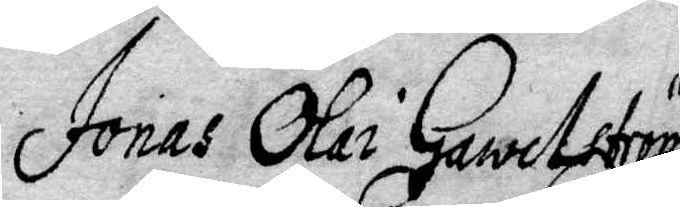Jonas Olai Gawelström
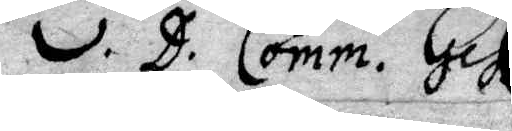v. D. Comm. Gef
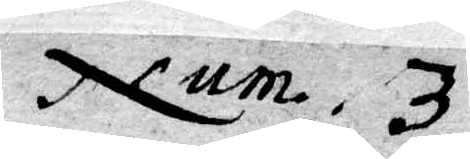Num. 3
